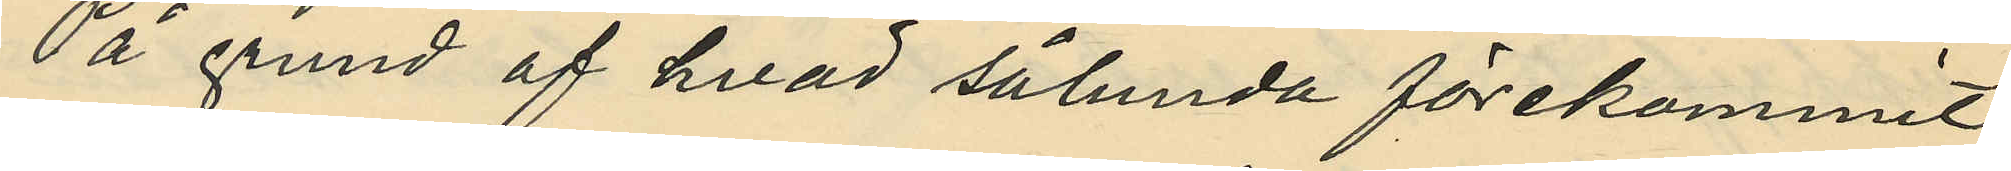På grund af hvad sålunda förekommit
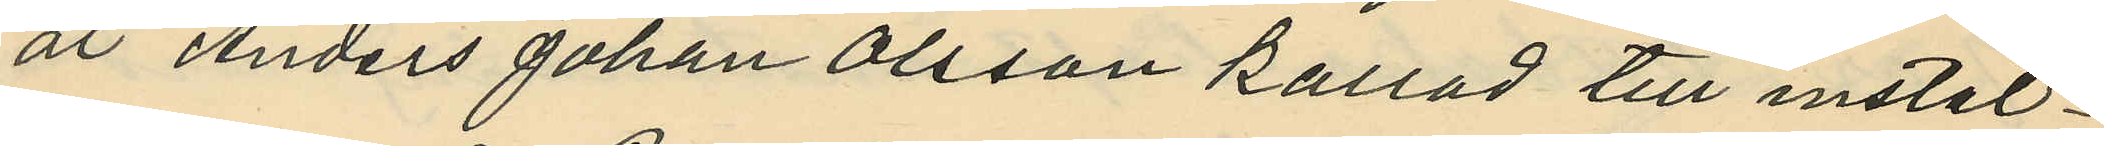är Anders Johan Olsson kallad till instäl¬
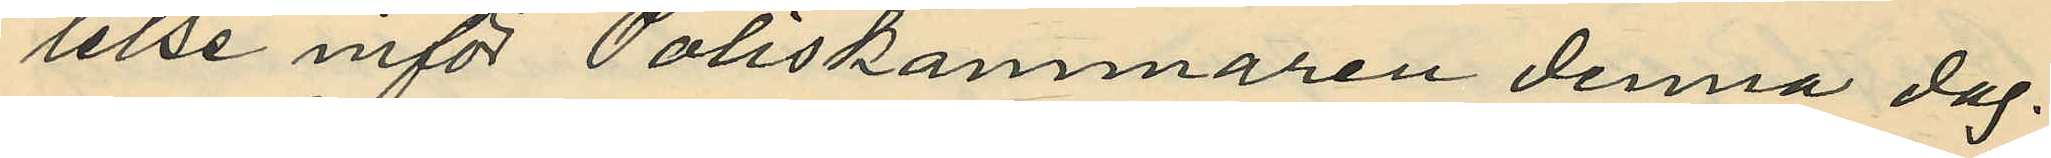lelse inför Poliskammaren denna dag.
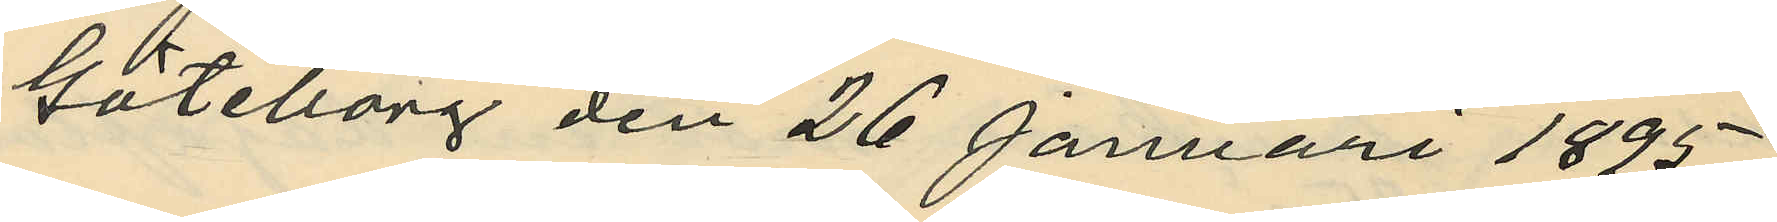Göteborg den 26 Januari 1895.
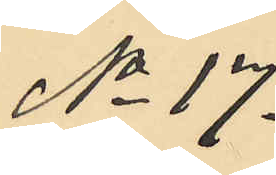No 17.
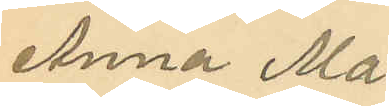Anna Ma¬
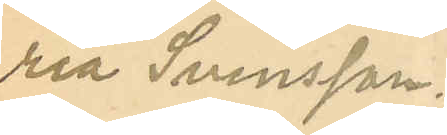ria Svensson.
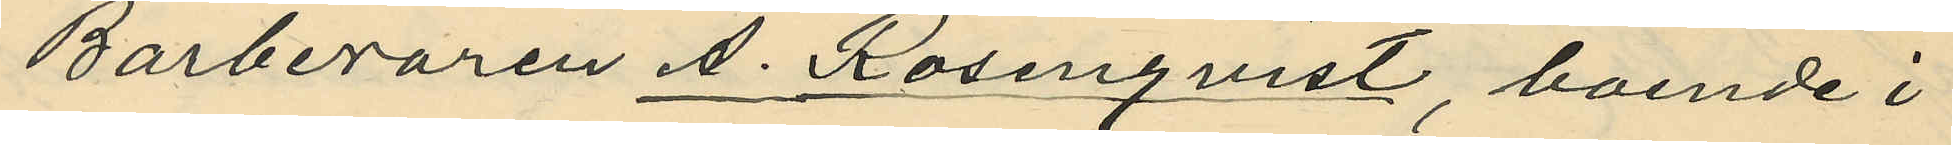Barberaren A. Rosenqvist, boende i
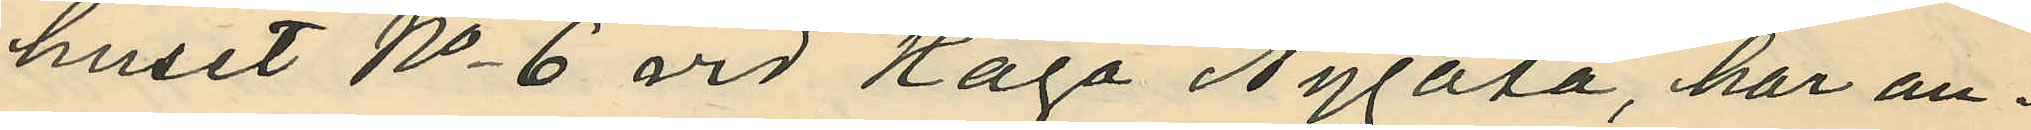huset No 6 vid Haga Nygata, har an¬
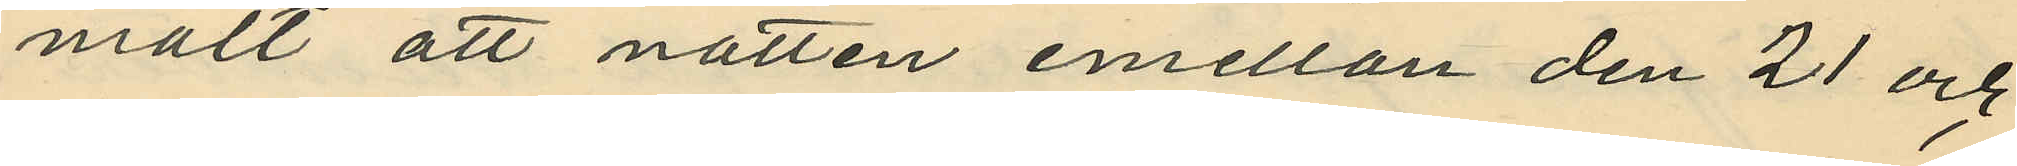mält att natten emellan den 21 och
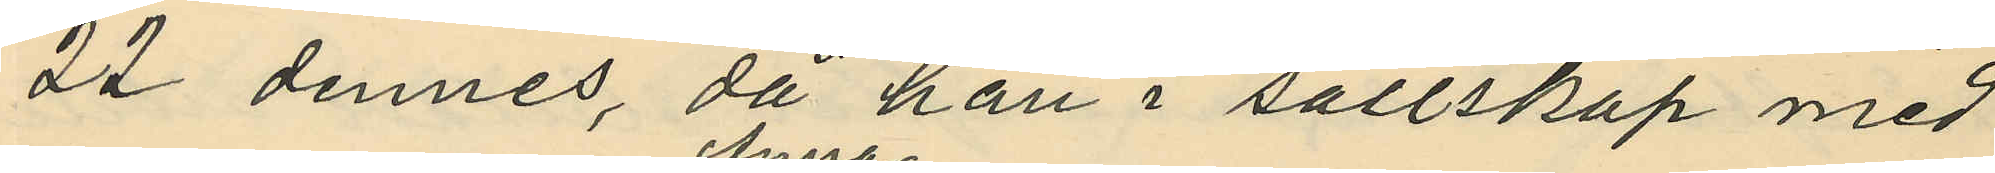22 dennes, då han i sällskap med
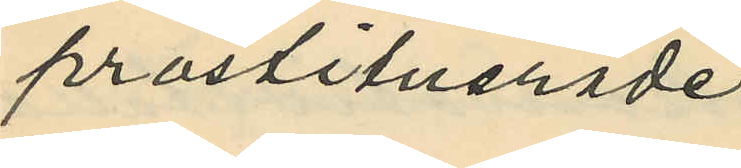prostituerade
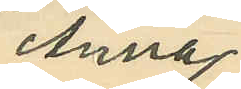Anna
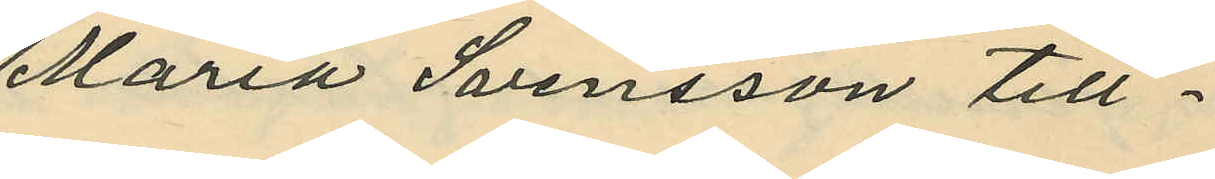Maria Svensson till¬
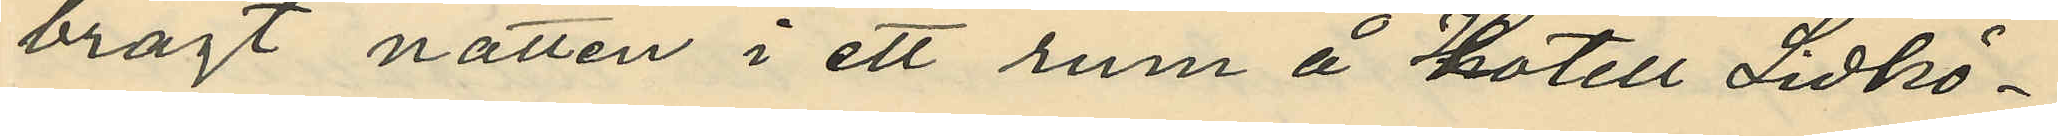bragt natten i ett rum å Hotell Lidkö¬
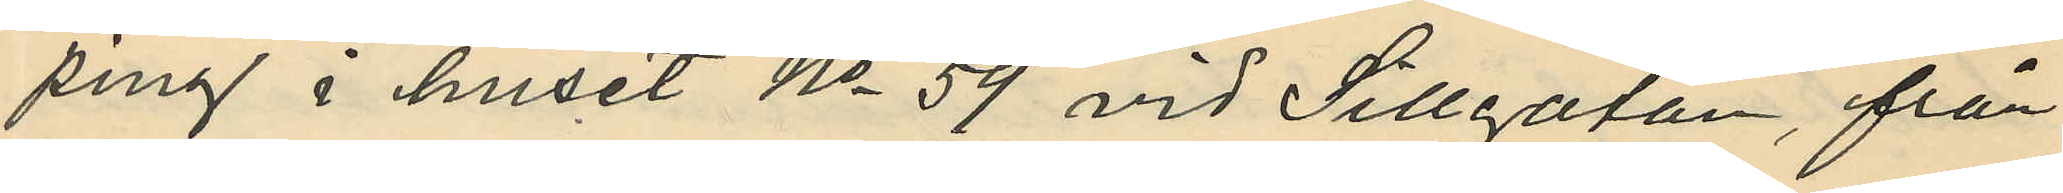ping i huset No 59 vid Sillgatan, från
